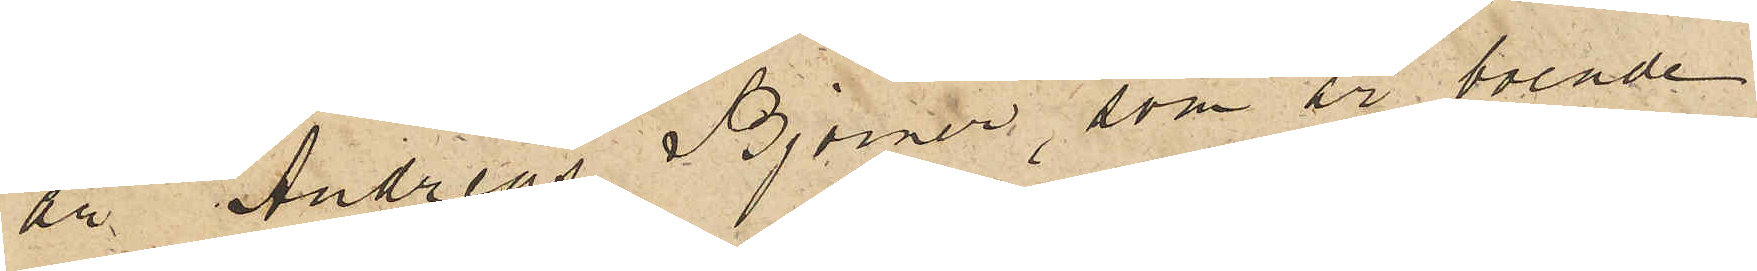är Andreas Björner, som är boende
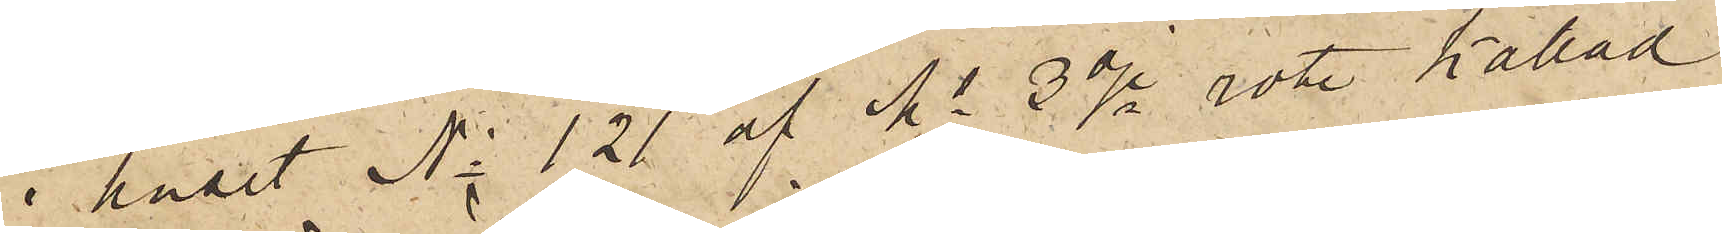i huset No 121 af Ms 3dje rote kallad
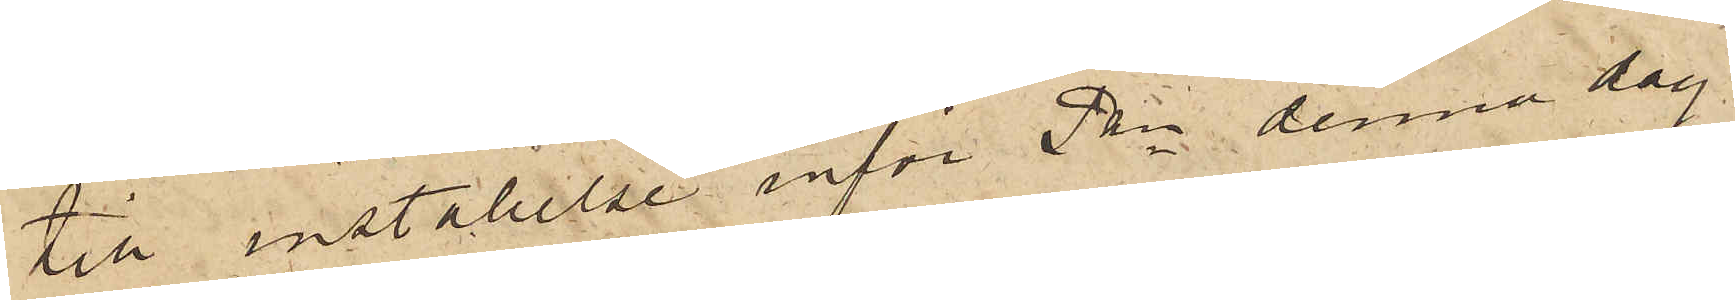till inställelse inför Pkn denna dag.
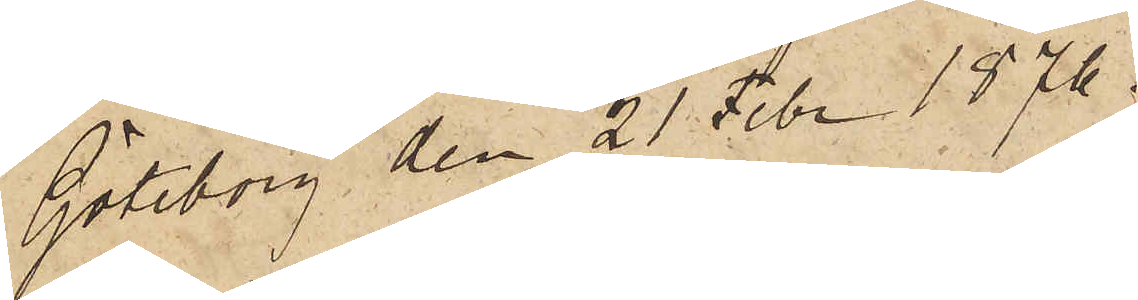Göteborg den 21 Febr 1876.
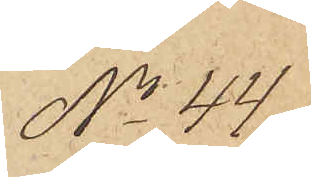No 44
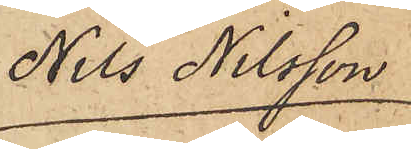Nils Nilsson
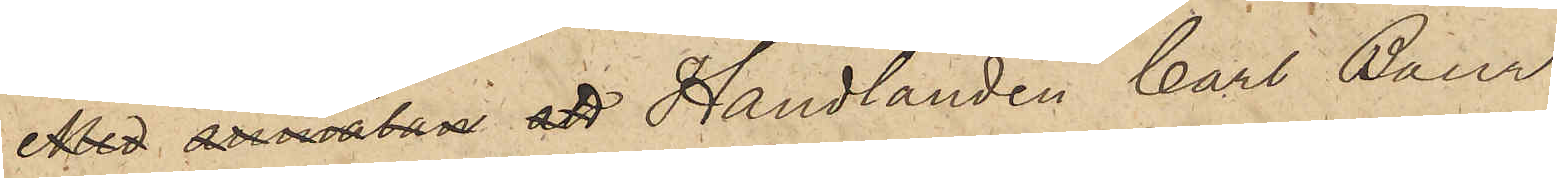Med anmälan att Handlanden Carl Baur,
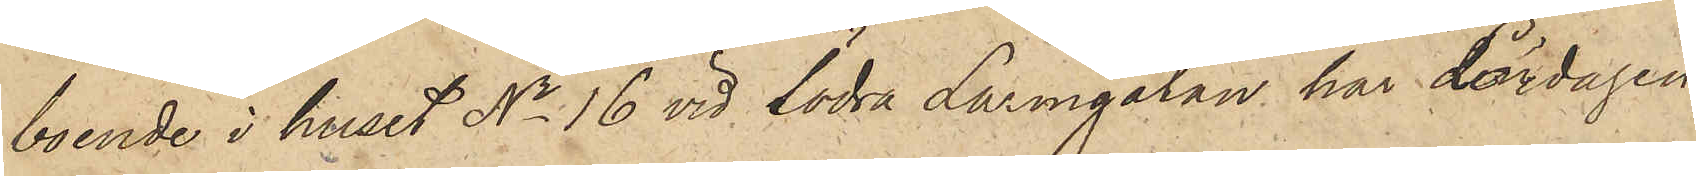boende i huset No 16 vid Södra Larmgatan har Lördagen
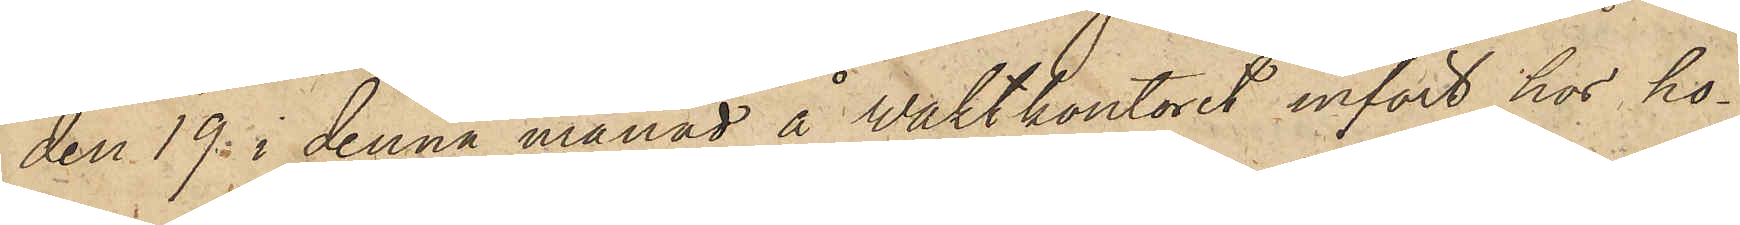den 19 i denna månad å waktkontoret infört hos ho¬
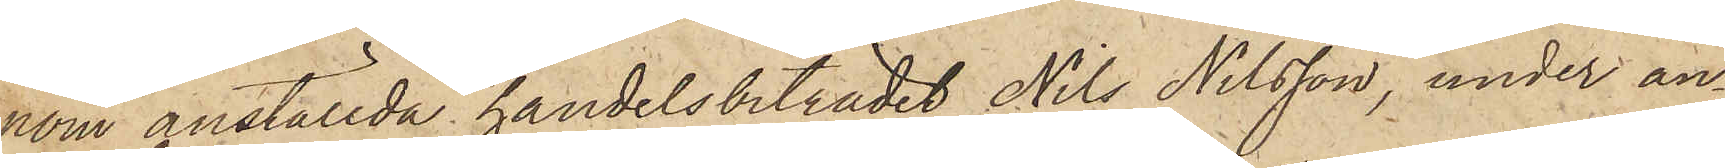nom anställda handelsbiträdet Nils Nilsson, under an¬
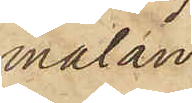mälan
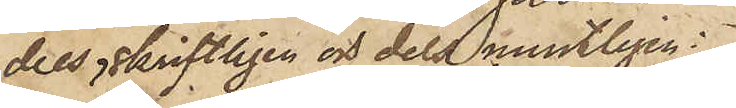dels skriftligen och dels muntligen
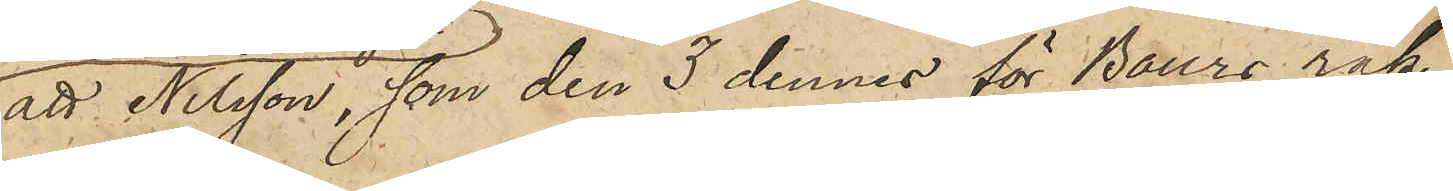att Nilsson, som den 3 dennes för Baurs räk¬
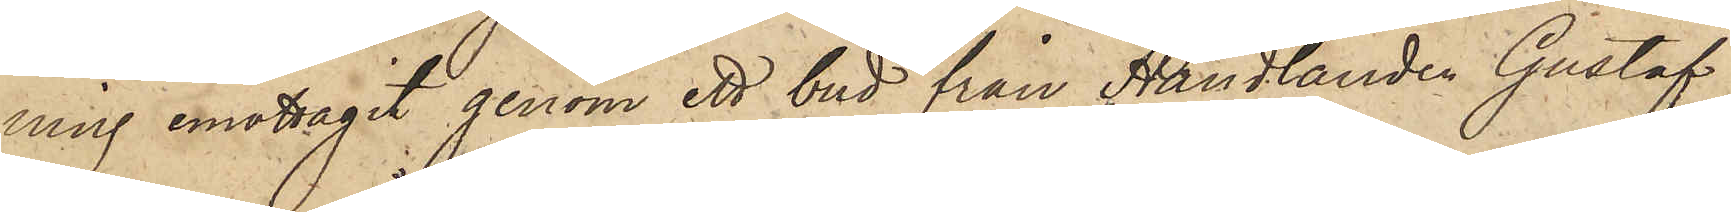ning emottagit genom ett bud från Handlanden Gustaf
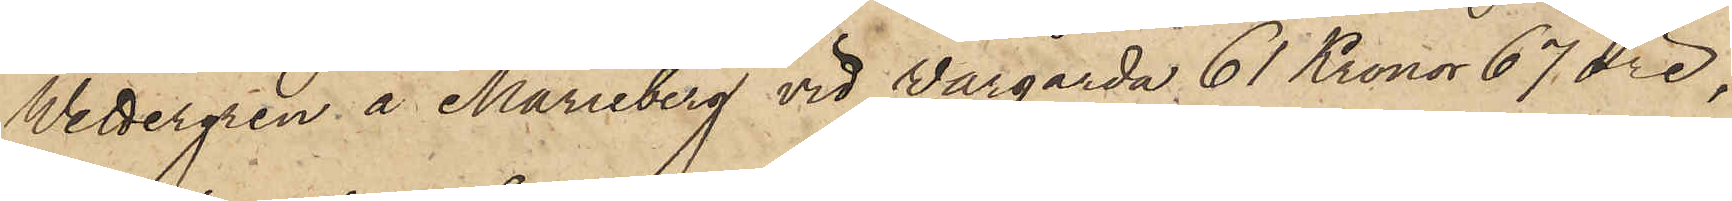Wettergren å Marieberg vid Vårgårda 61 Kronor 67 öre,
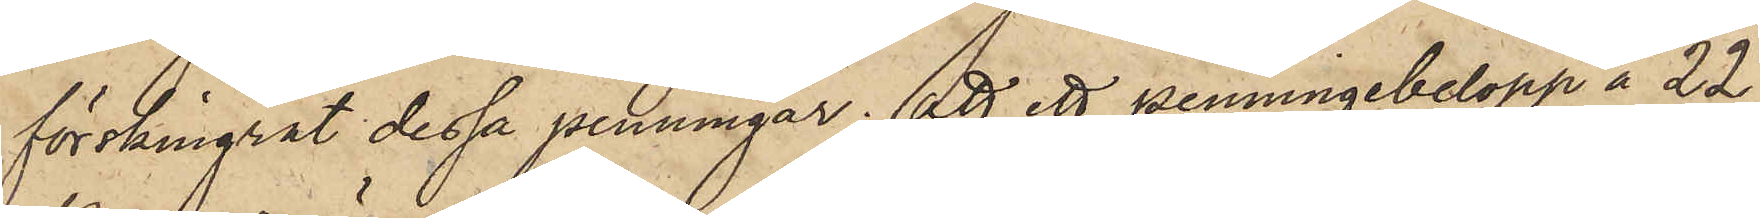förskingrat dessa penningar; att ett penningebelopp å 22
